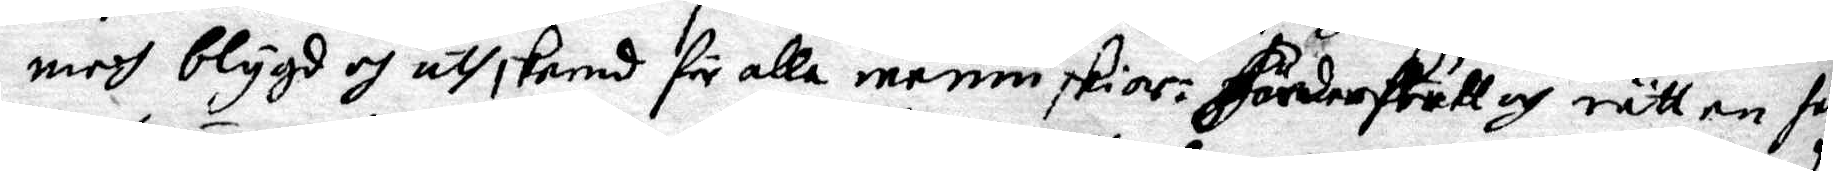med blygd och uthskemd för alla menniskior. Fördenskull och rätten hade
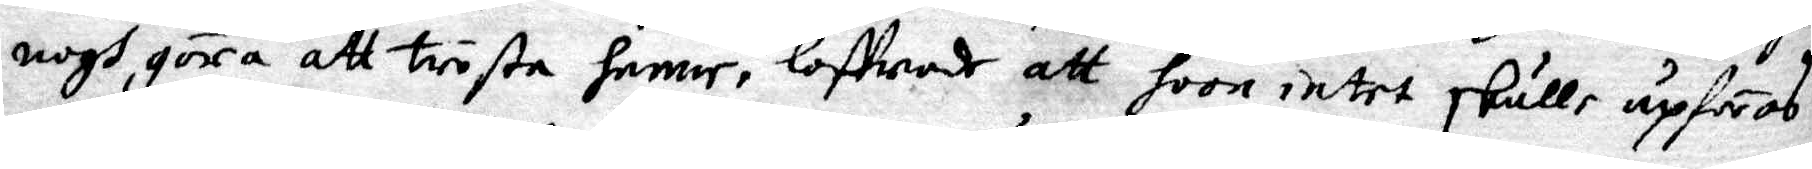nogh göra att trösta henne, loffwade att hoon intet skulle upföras
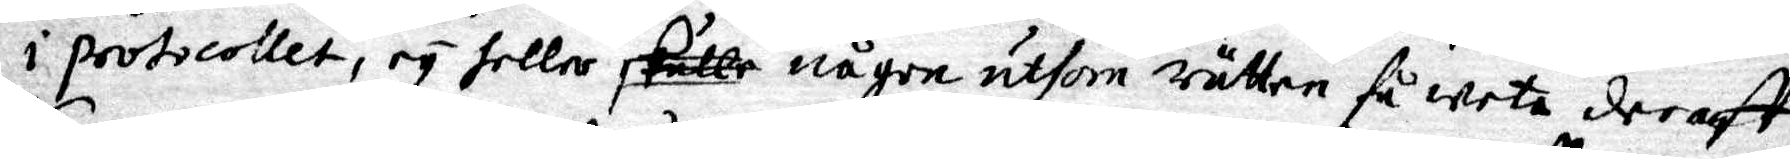i protocollet, ey heller några uthom rätten få weta deraff.
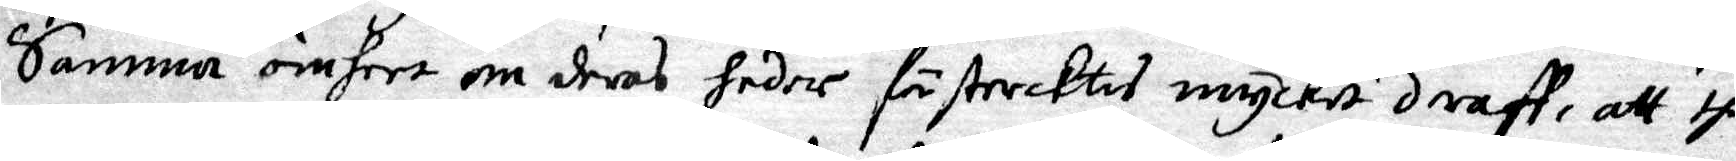Samma ömheet om deras heder förtrycktes mycket deraff, att the
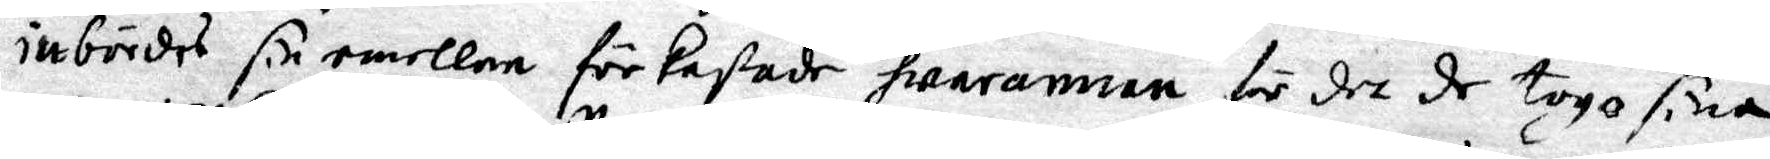inbördes sin emellan förkastade warannan för det de togo sina
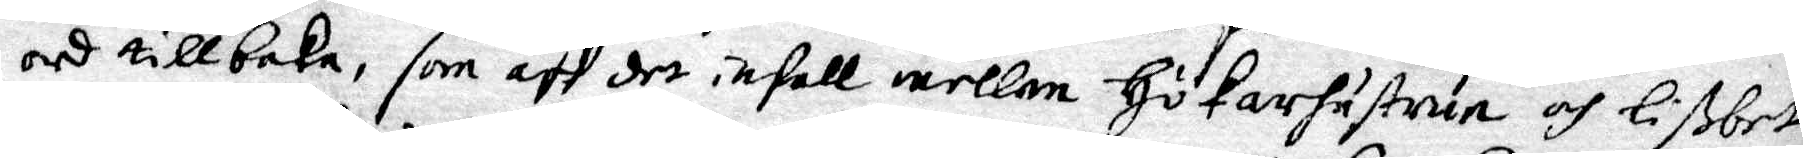ord tillbaka, som aff det infall mellan Hökarhustrun och Lißbet
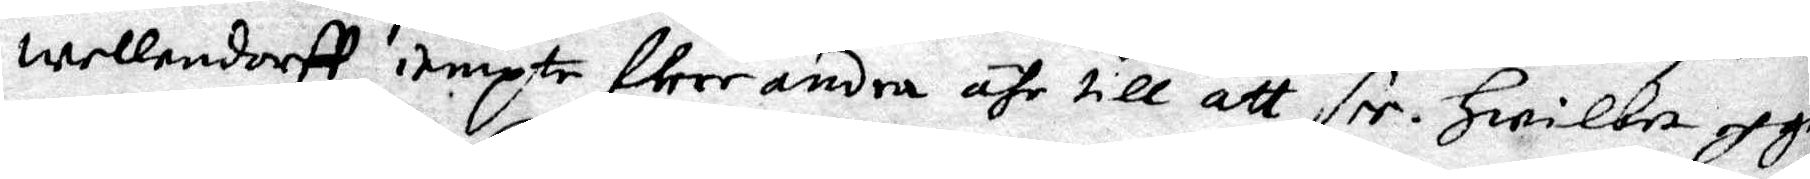wellandorff iempte flere andra ähr till att see. Hwilka och gos
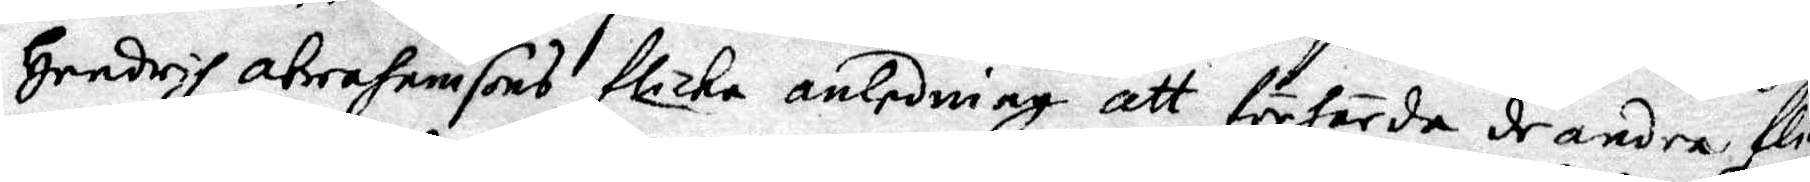Hendrih abrahamsons flicka anledning att förhärda de andra flick
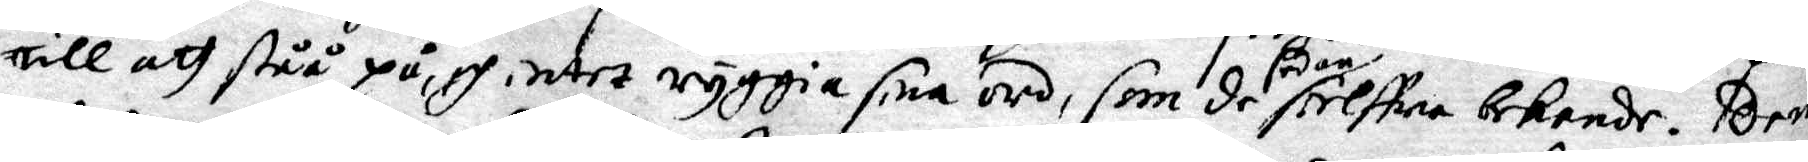till att ståå på, och intet ryggia sina ord, som de sedan sielfwa bekende.Dem
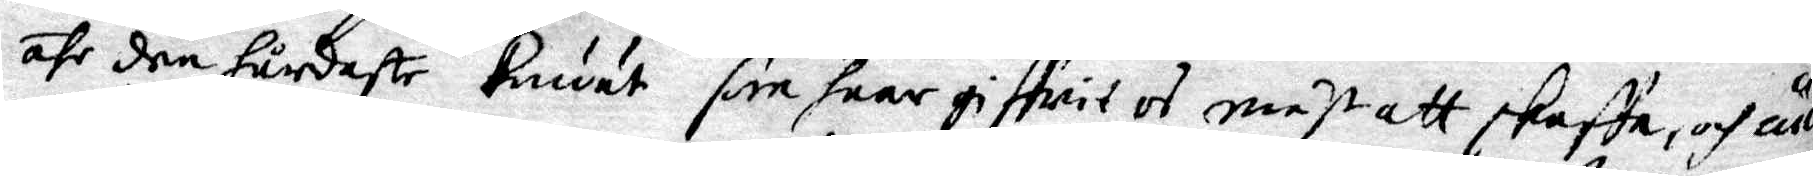ähr den hårdaste Knuut som huar giffwit os mäst att skaffa, och ännu
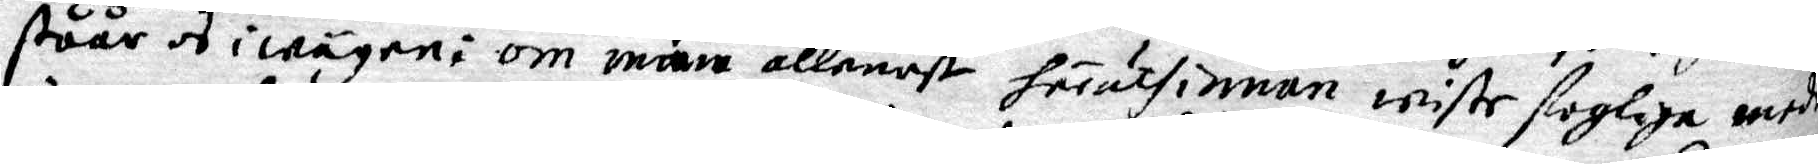ståår os i någon: om man allenast föruthinnan wiste fogliga medh
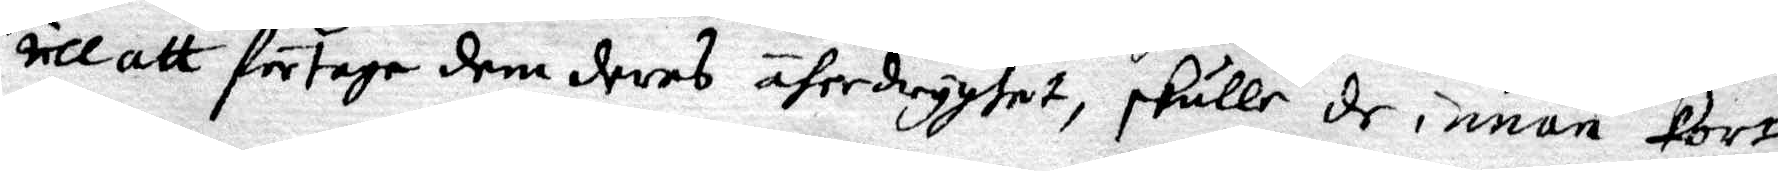till att förtaga dem deras öferdryghet, skulle de innan Kort
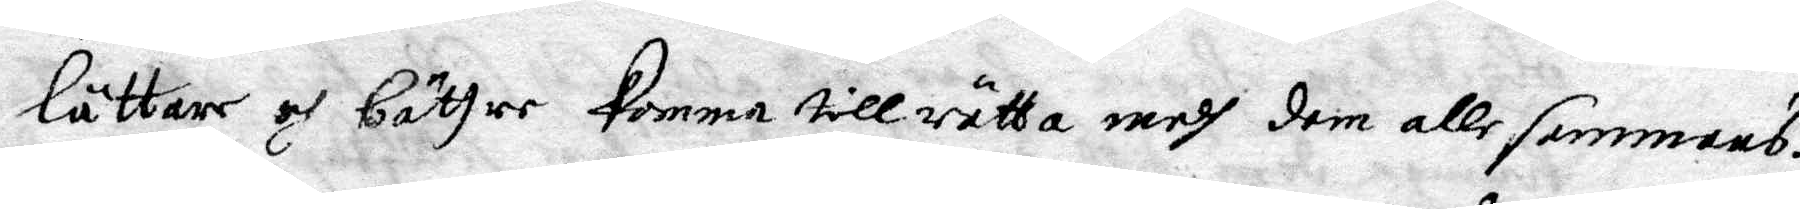lättare och bättre komma till rätta medh dem allesammans.
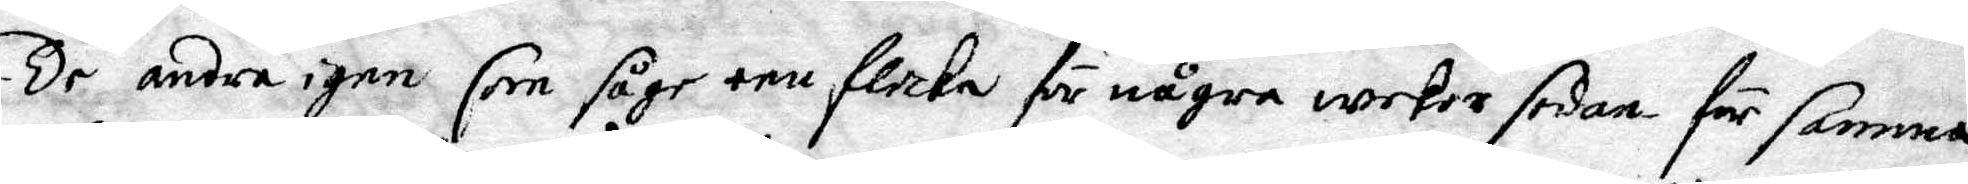De andra igen som såge een flicka för några wekor sedan för samma
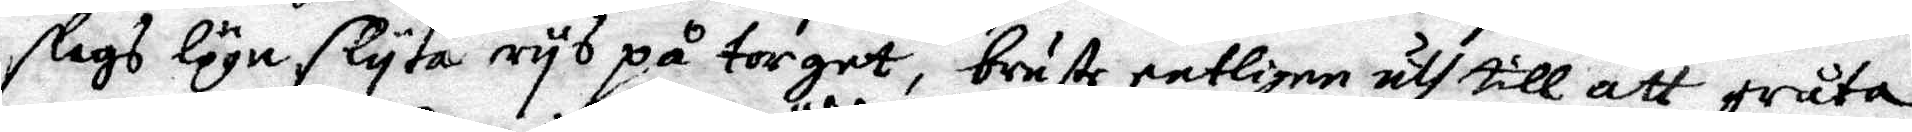slags lögn slyta rys på torget, brute entligen uth till att gråta
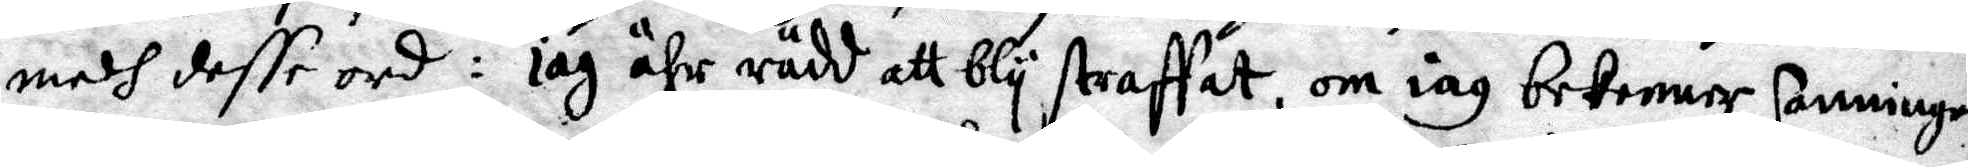medh desse ord: iag ähr rädd att bly straffat, om iag bekenner sanningen
